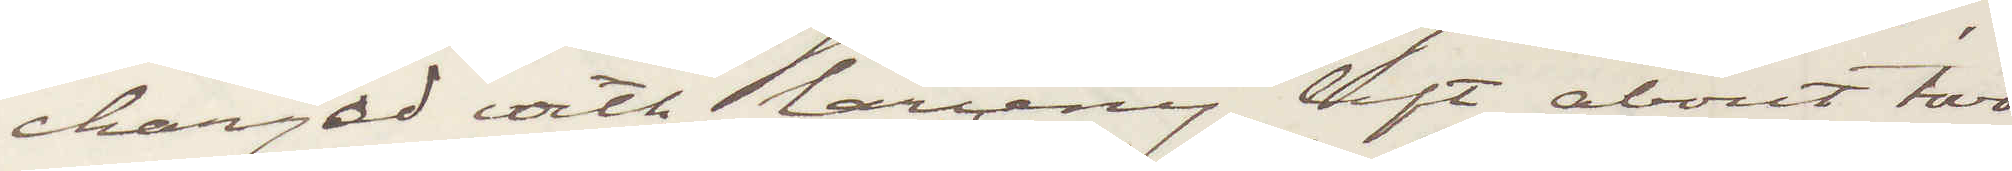charged with larceny, left about two
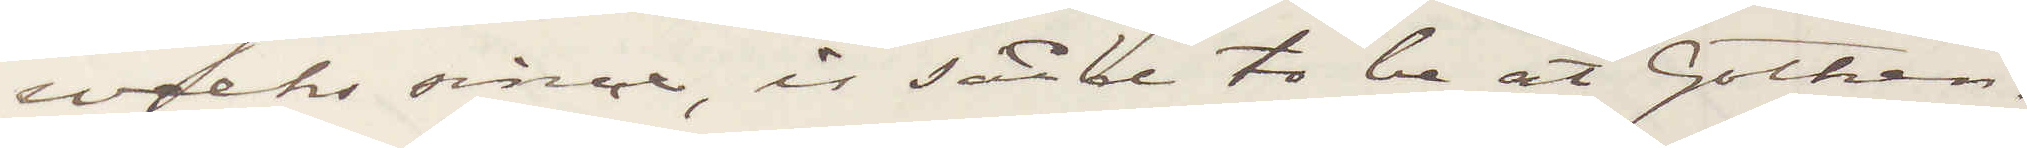weeks since, is said to be at Gothen¬
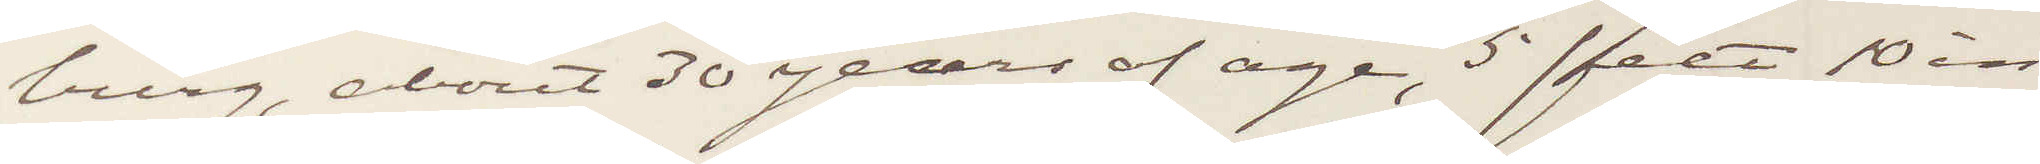burg, about 30 years of age, 5 feet 10 in¬
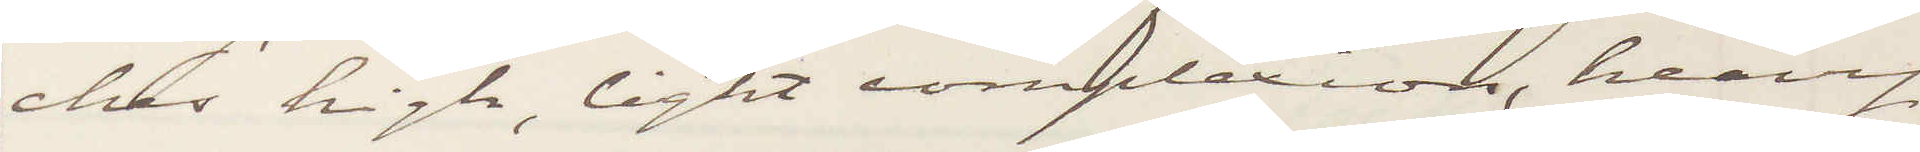ches high, light complexion, heavy
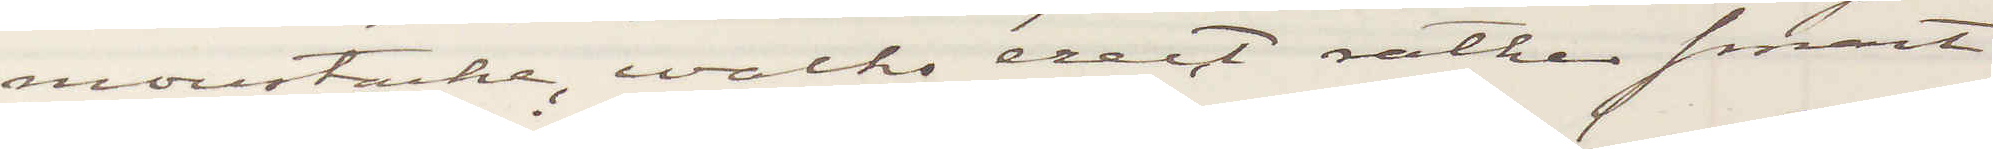monstache, walks erect rather smart
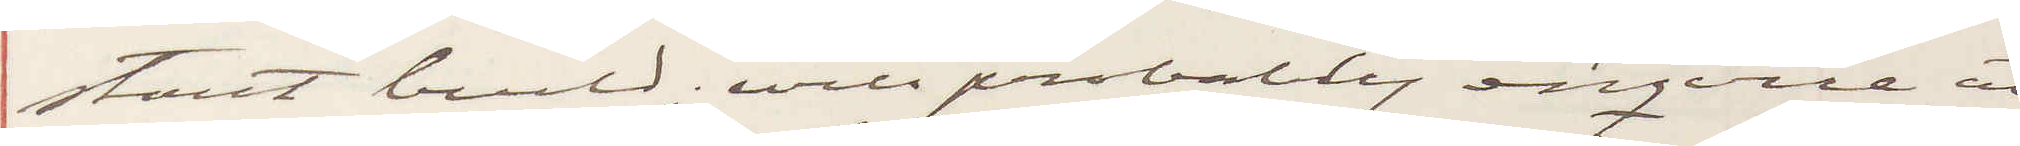stout build; will probably enquire at
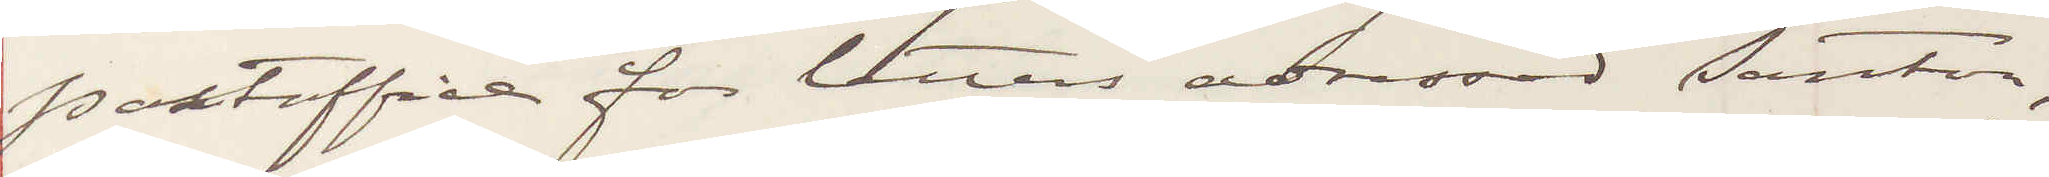postoffice for letters adressed Santer;
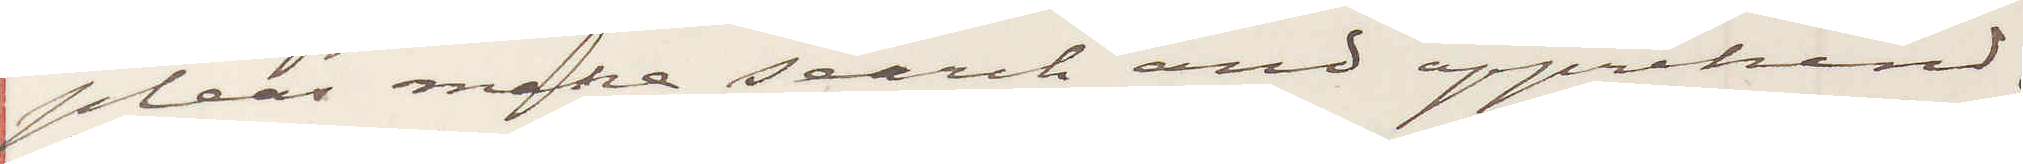pleas make search and apprehend.
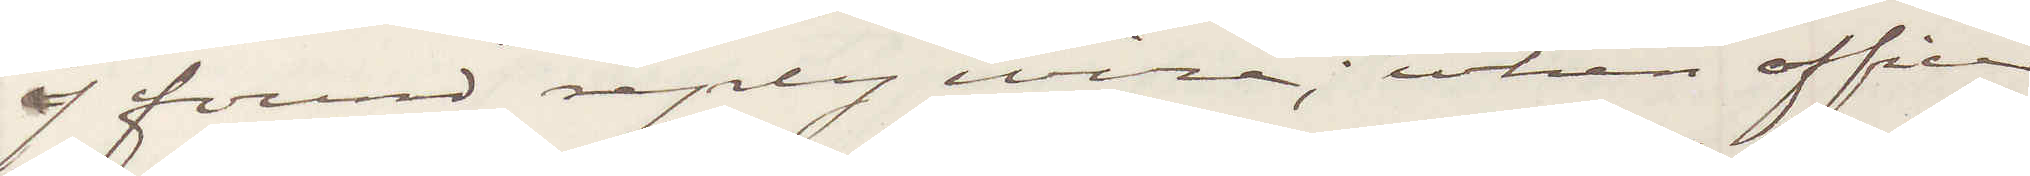if found reply wire; when officer
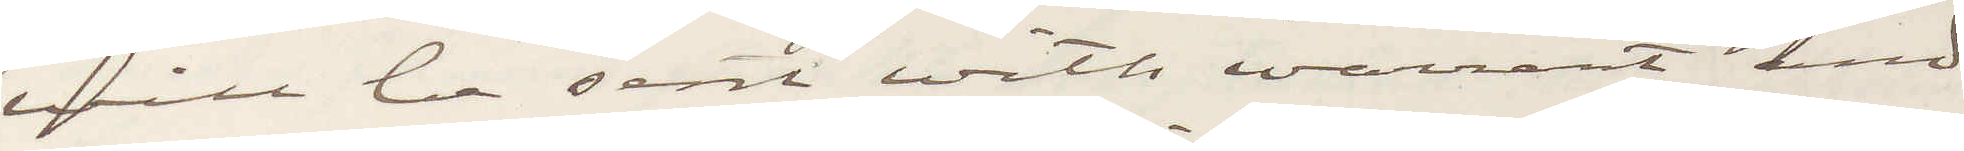will be sent with warrant and
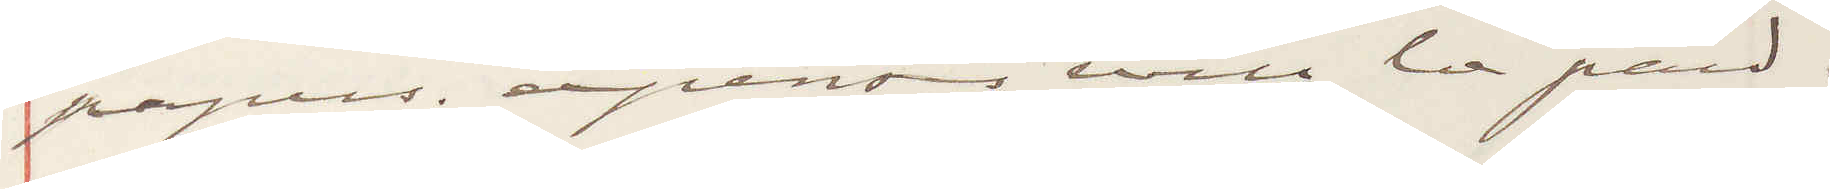papers. expenses will be paid.
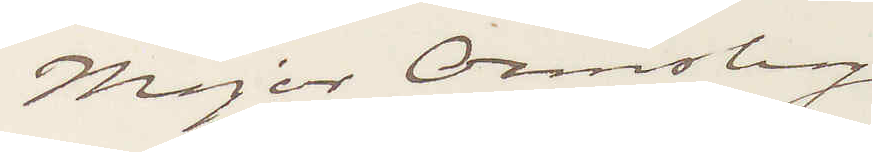Major Ormsby
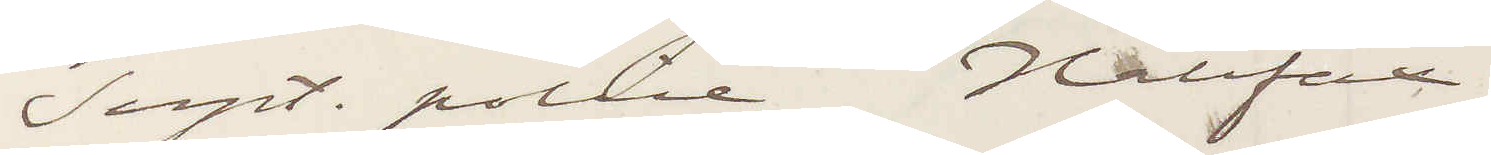Supt. Police Halifax.
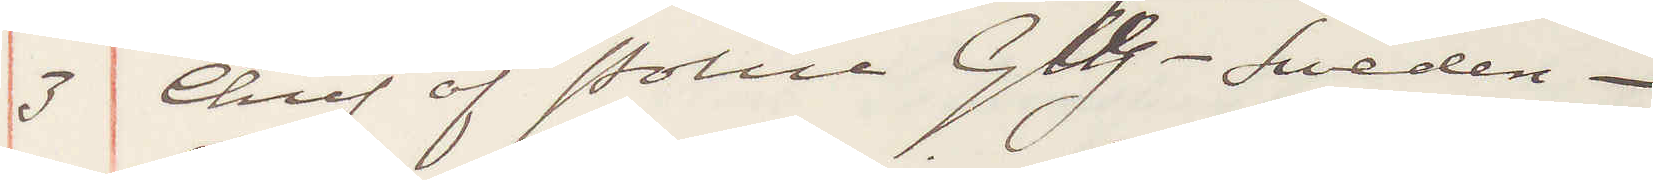3 Chief of Police GbG- Sweden-
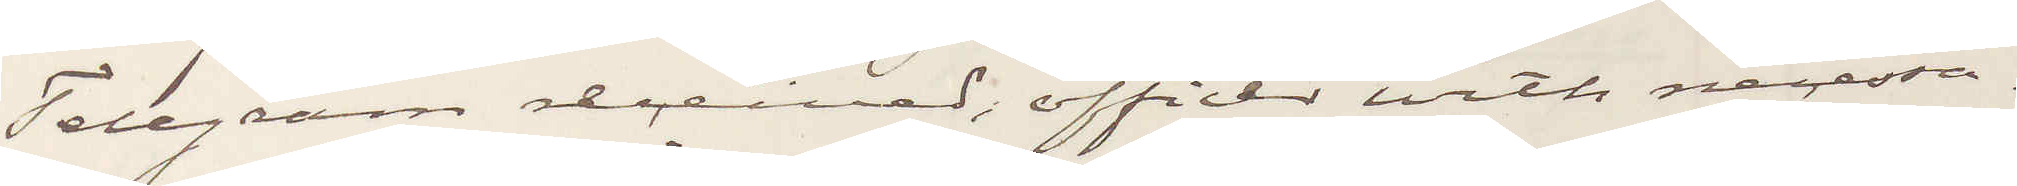Telegram received, officer with necessa¬
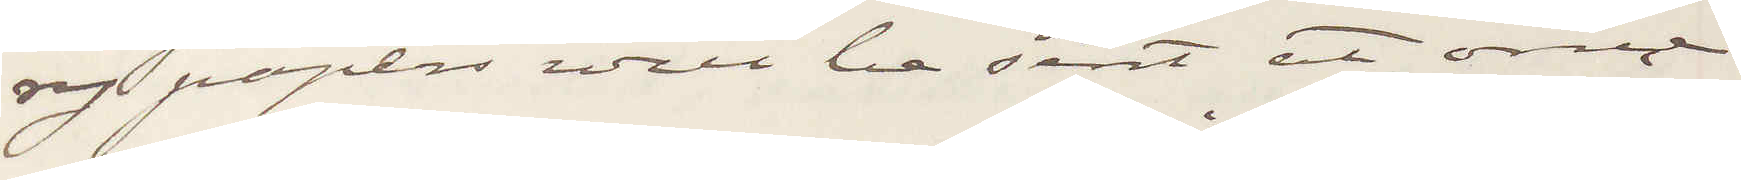ry papers will be sent at once.
